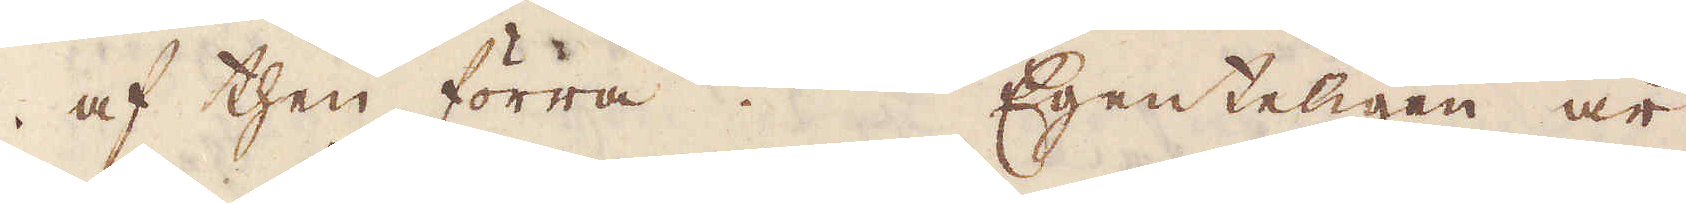af then förra. Egenteligen är
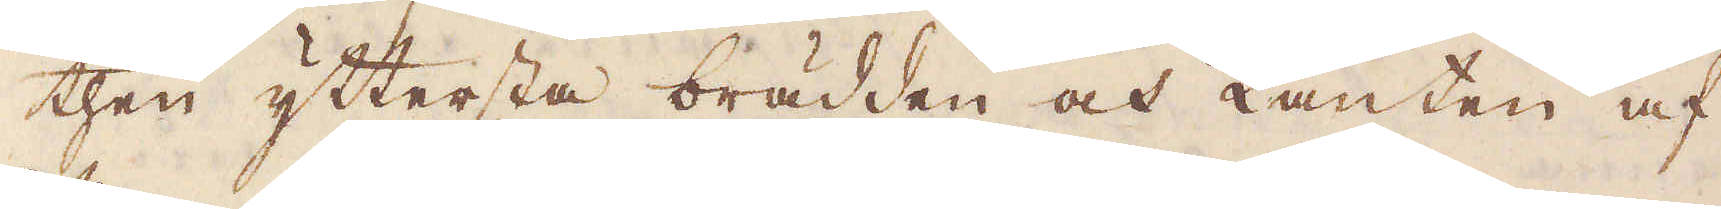then yttersta brädden och kanten af
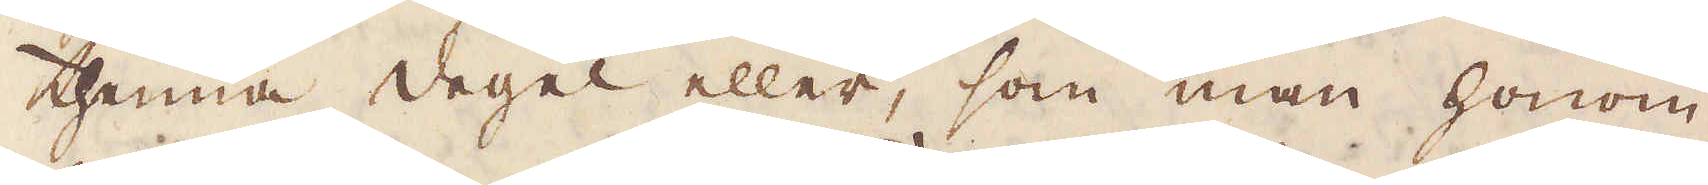thenna degel eller, som man honom
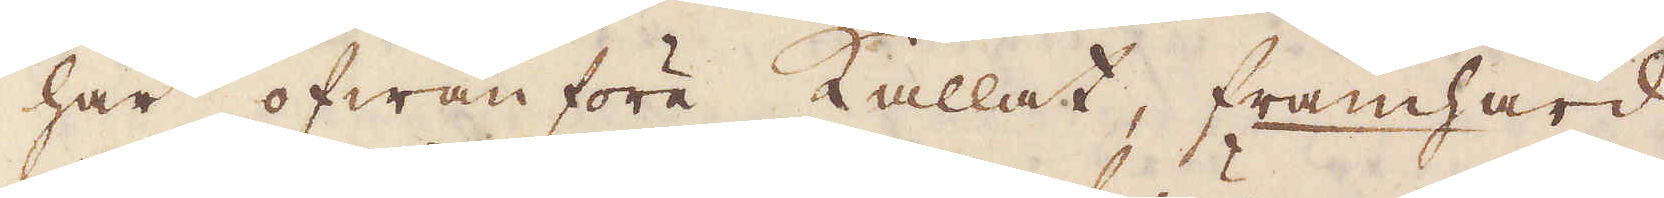här ofwanföre kallat, framhärd
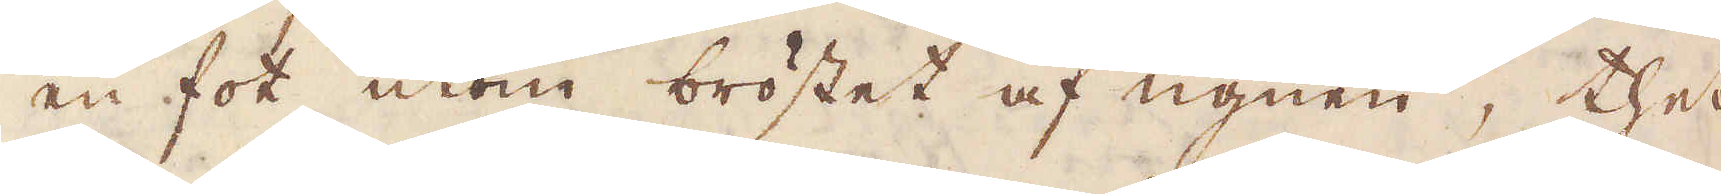en fot utom bröstet af ugnen, thet
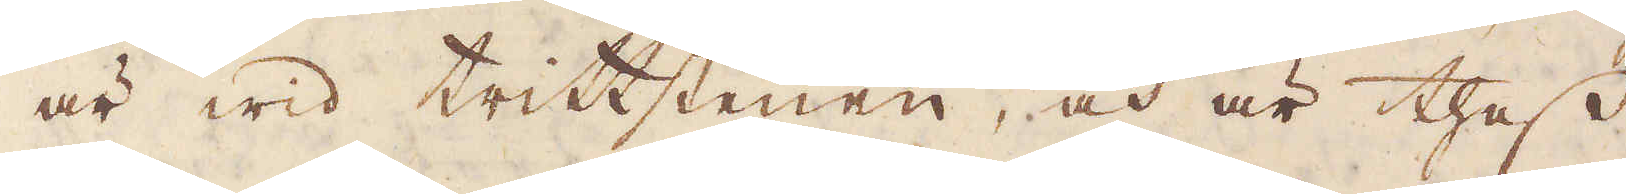är wid trittstenen, och är thess
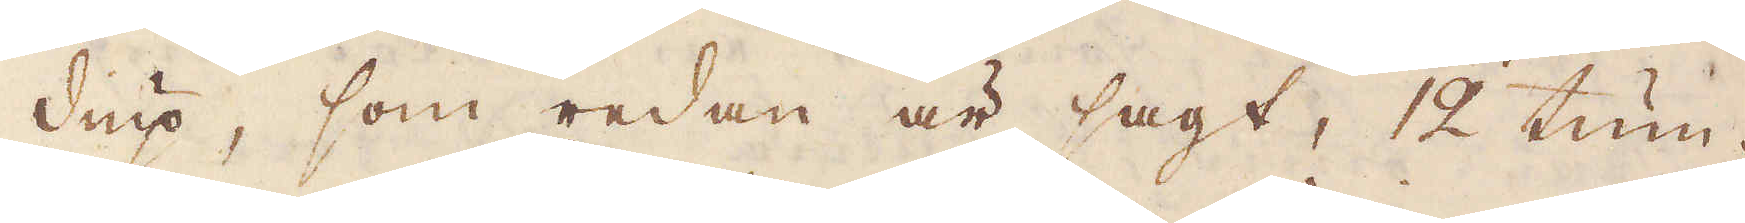diup, som redan är sagt, 12 tum.
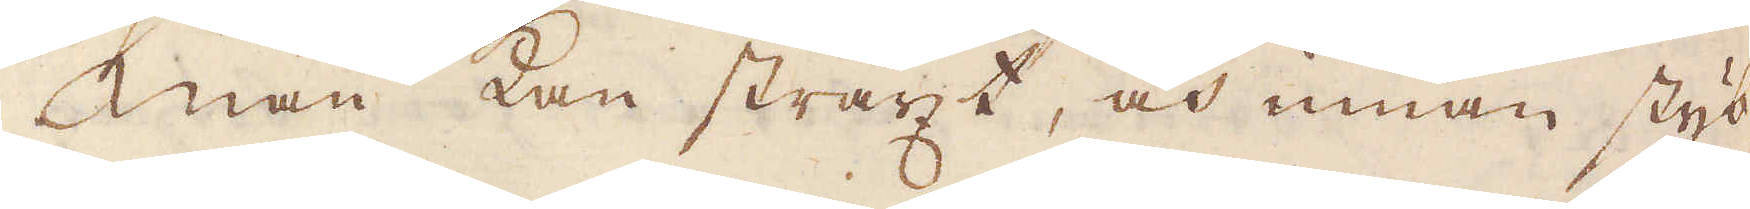Man kan straxt, och innan styb-
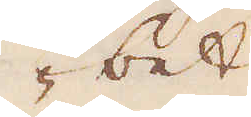bet
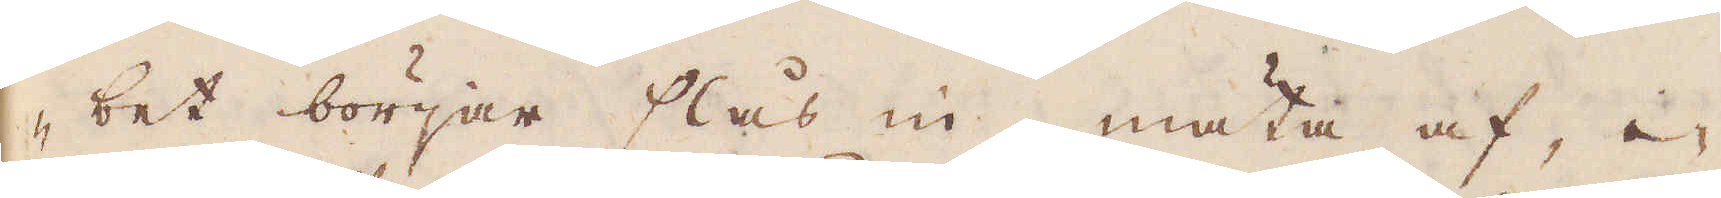bet börjar slås in, mäta af, i-
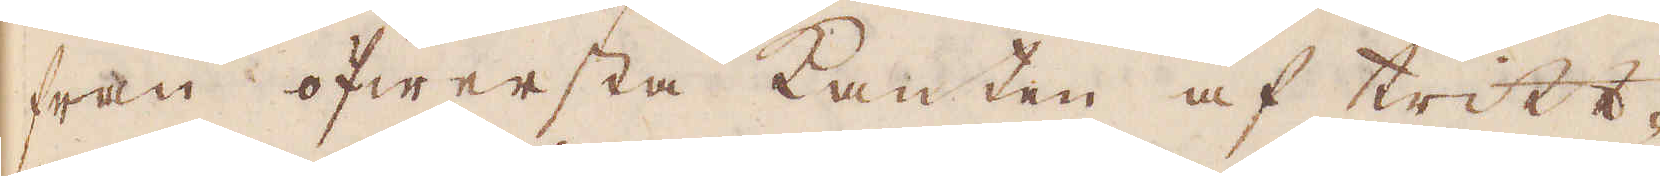från öfwersta kanten af tritt-
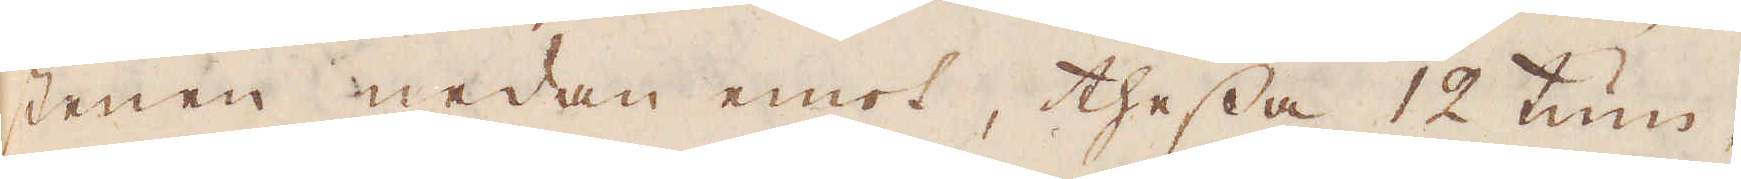stenen nedan emot, thessa 12 tum,
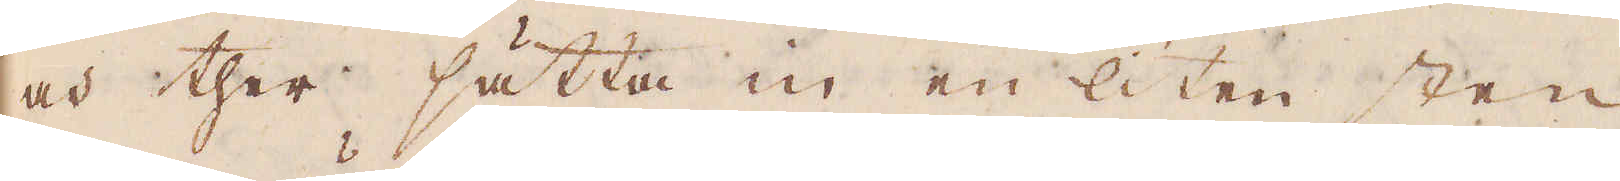och ther sätta in en liten sten
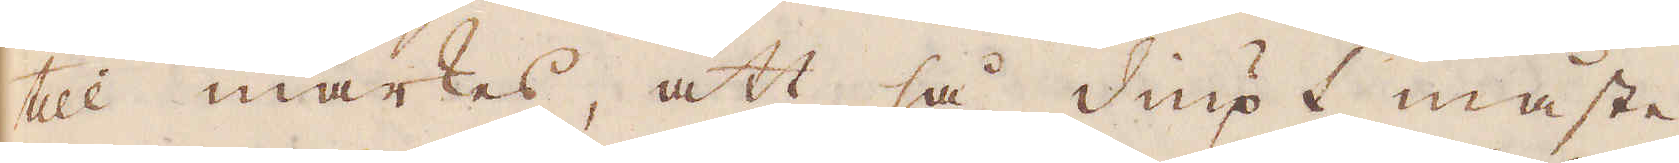till märkes, att så diupt måste
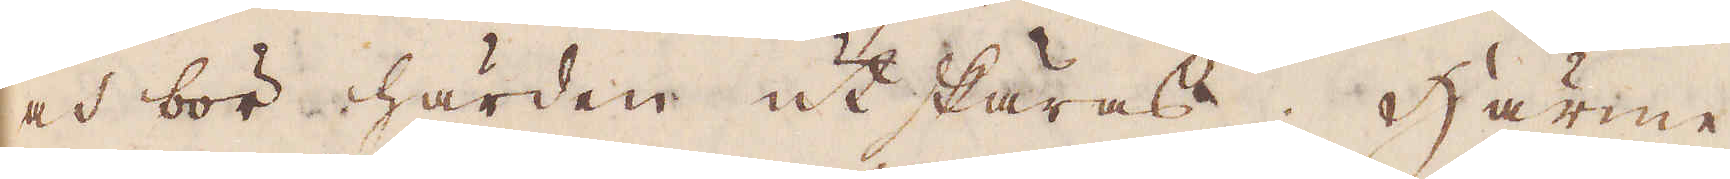och bör härden utskäras. Härme-
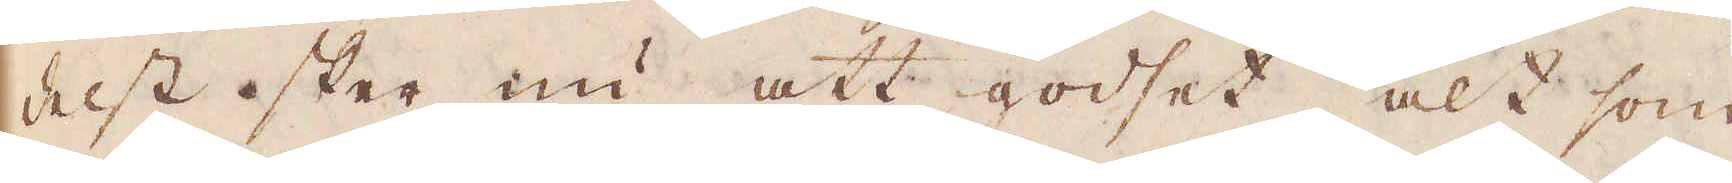delst sker nu att godset, alt som
